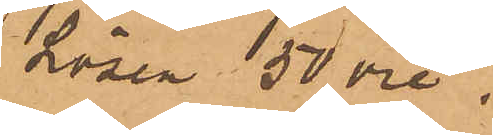Lösen 50 öre.
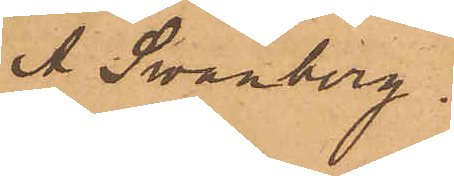A. Svanberg."
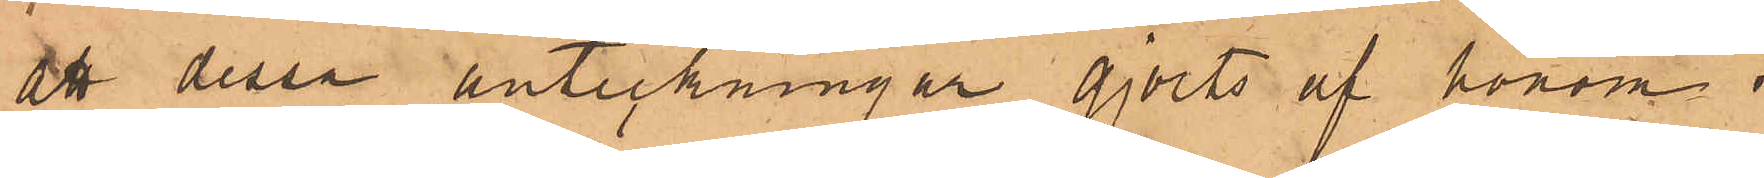att dessa anteckningar gjorts af honom" i
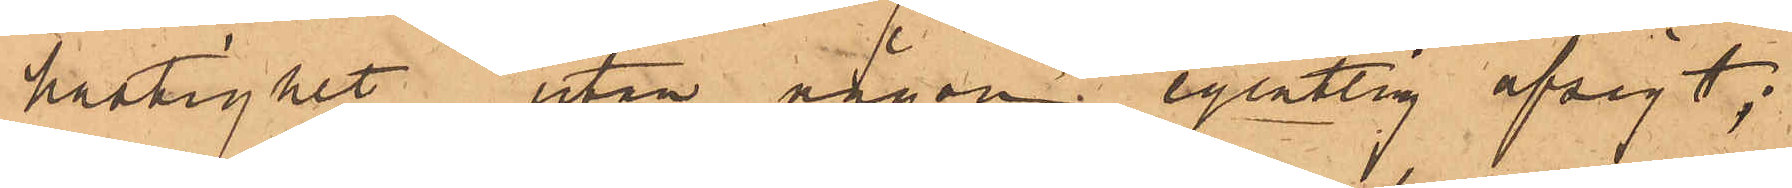hastighet" utan någon egentlig afsigt;
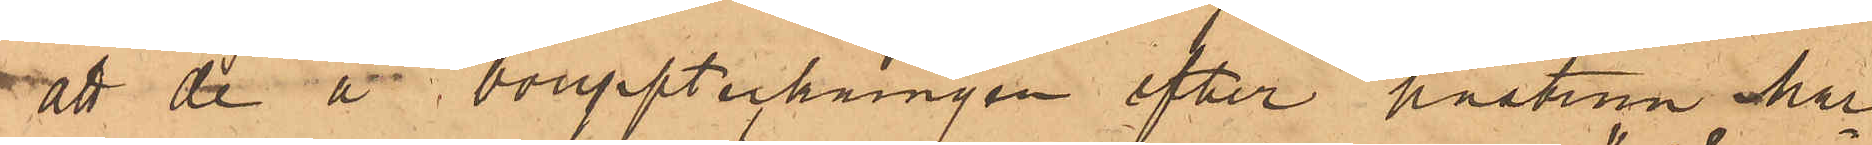att de å bouppteckningen efter hustrun Mar¬
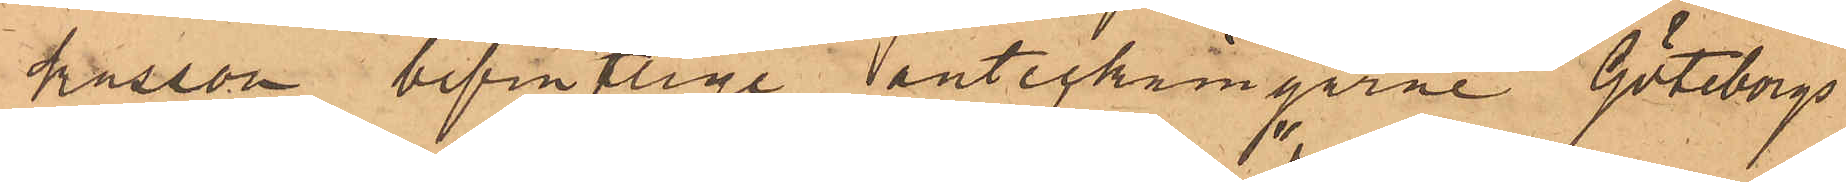kusson befintlige anteckningarne "Göteborgs
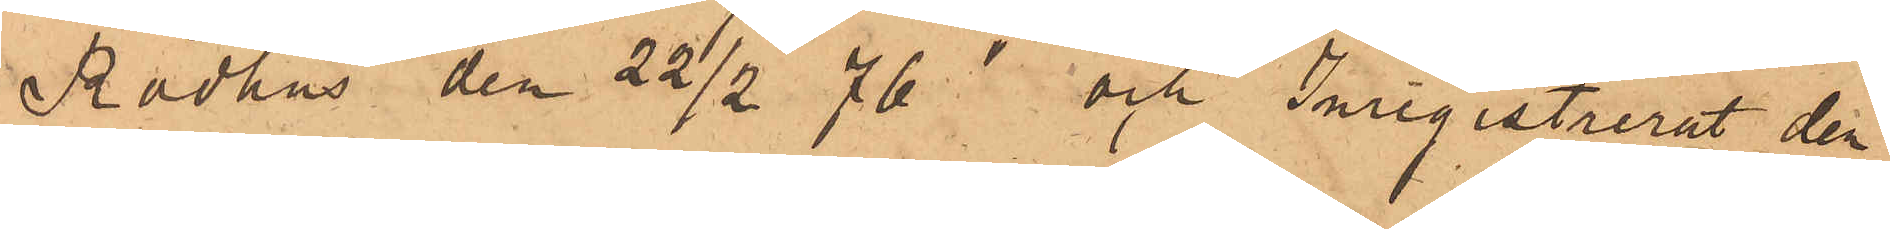Rådhus den 22/2 76" och" Inrigistrerat den
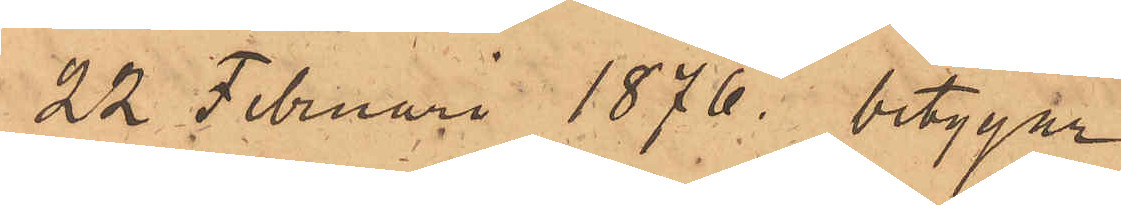22 Februari 1876. betygar
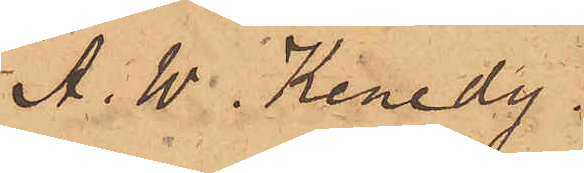A. W. Kenedy
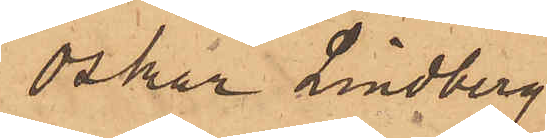Oskar Lindberg
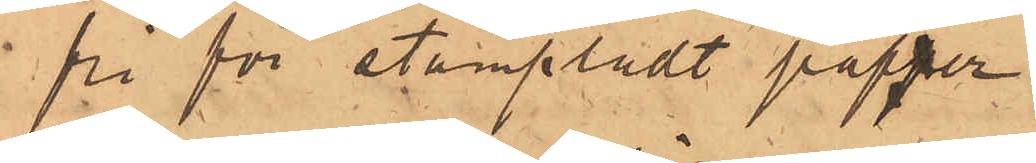fri för stämpladt papper
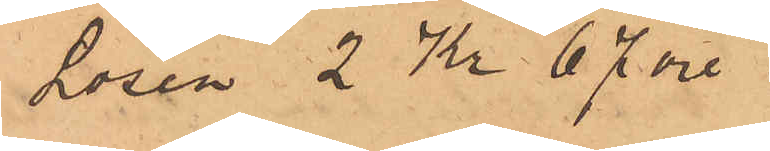Lösen 2 Kr 67 öre
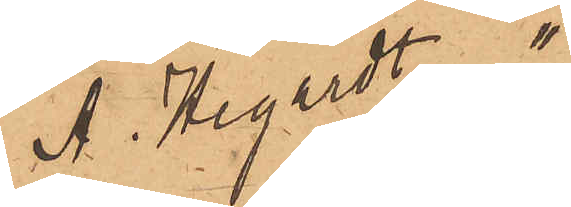/A. August"
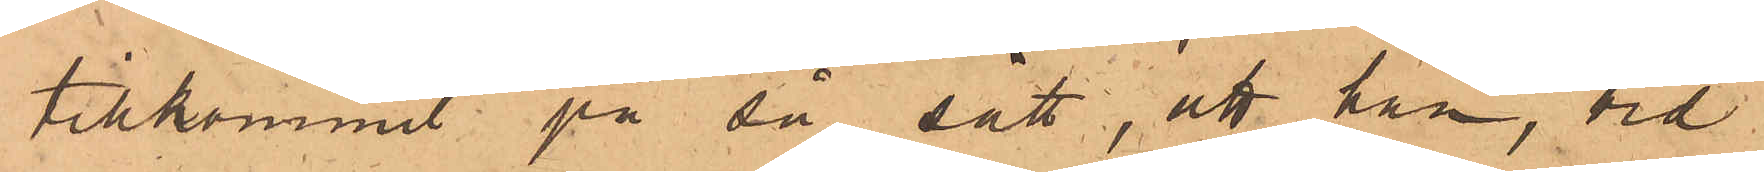tillkommit på då sätt, att han, vid
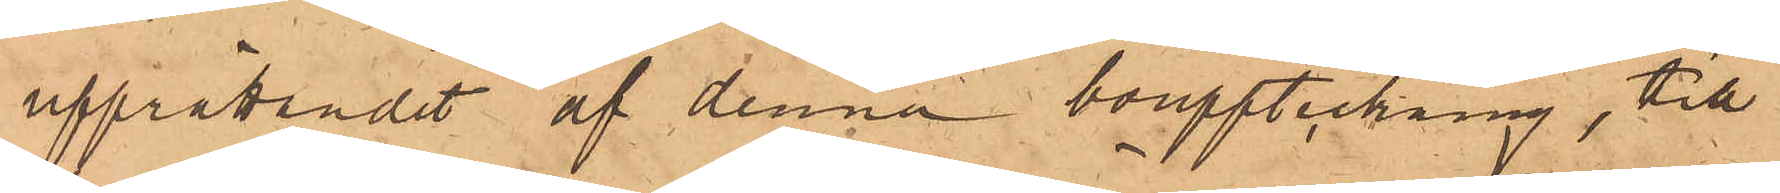upprättandet af denna bouppteckning, till
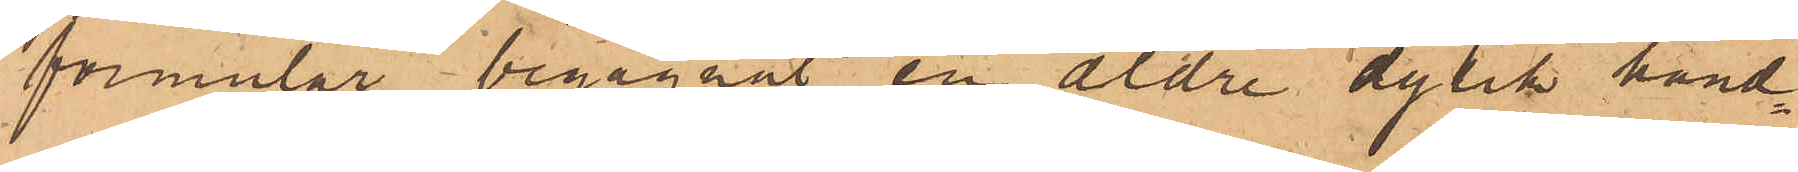formulär begagnat en äldre dylik hand¬
